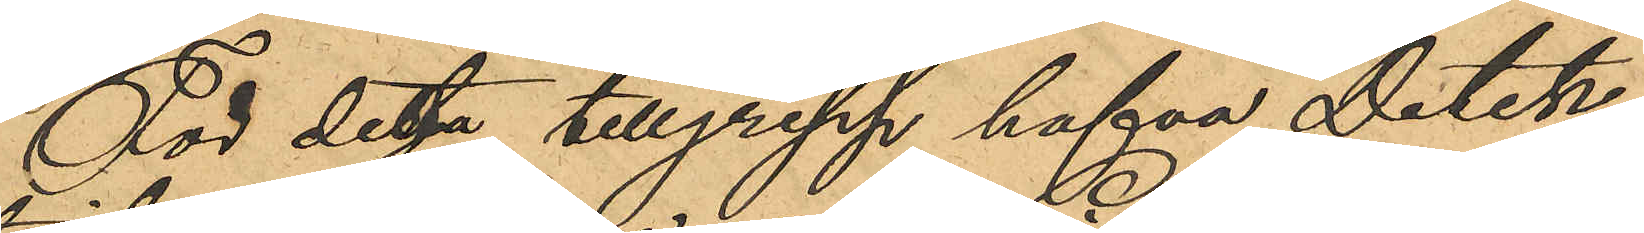För deta tillgrepp hafva Detek¬
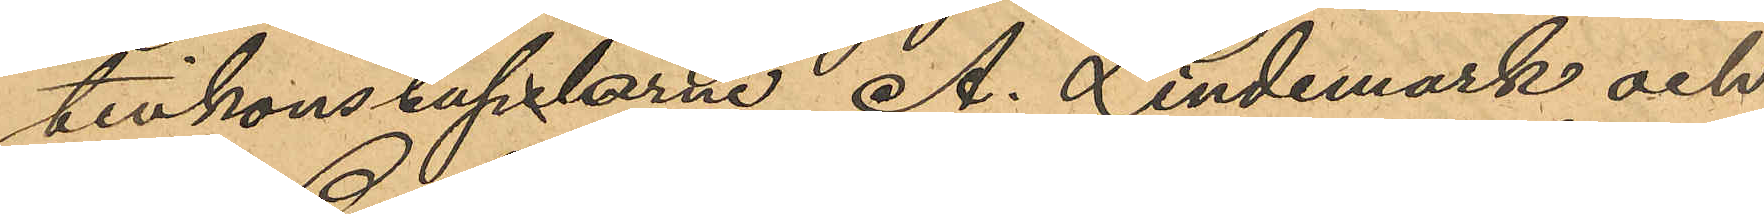tivkonstaplarne A. Lindemark och
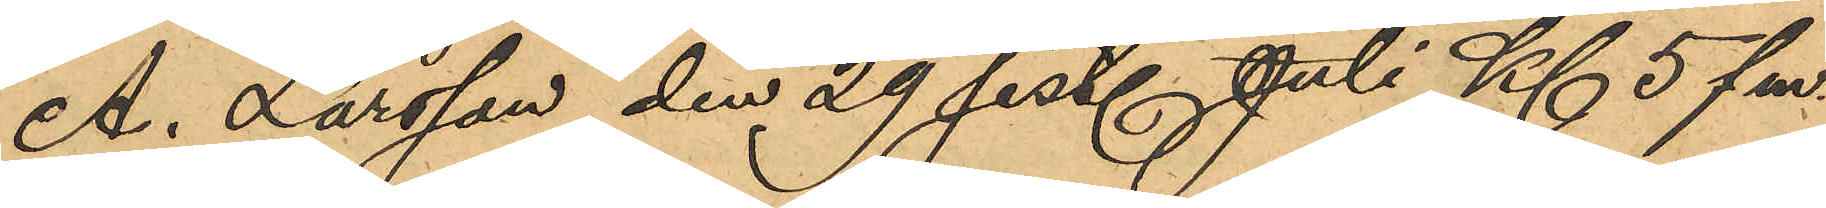A. Larsson den 29 sist. Juli Kl 5 fm.
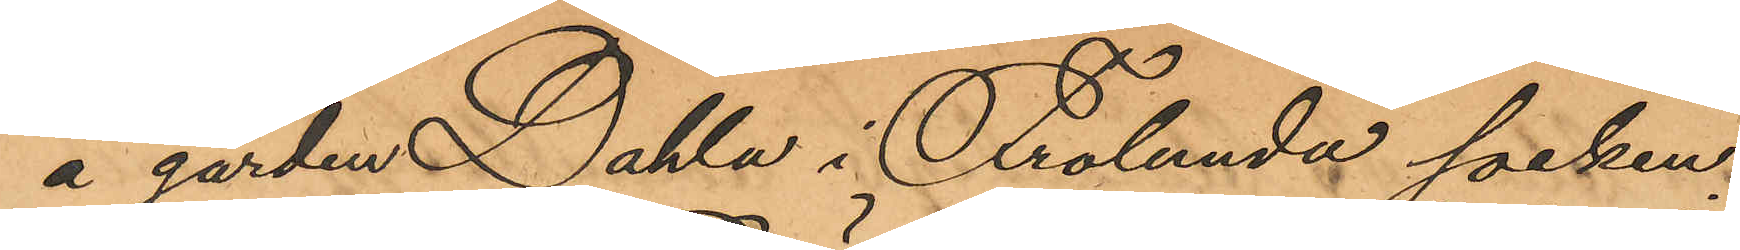å gården Dahla i Frölunda socken,
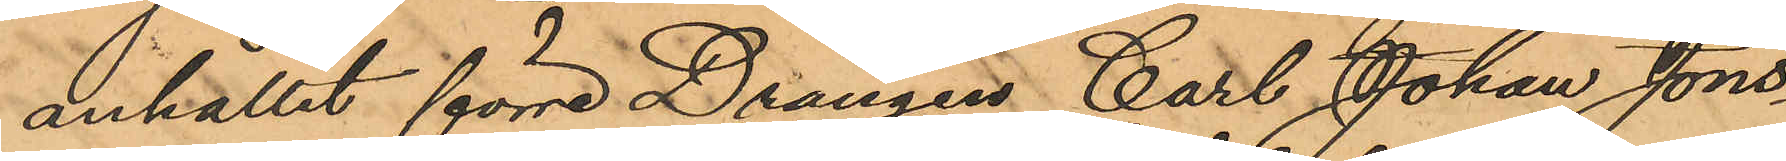anhållit förre Drängen Carl Johan Jons¬
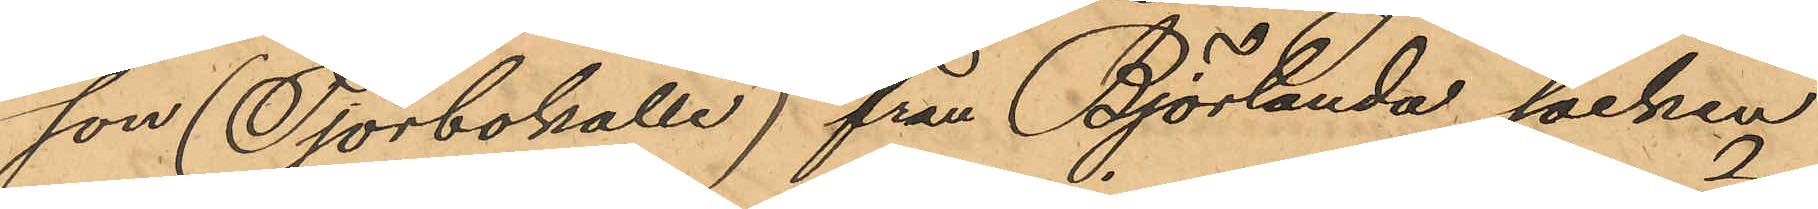son (Tjörbokalle) från Björlanda socken
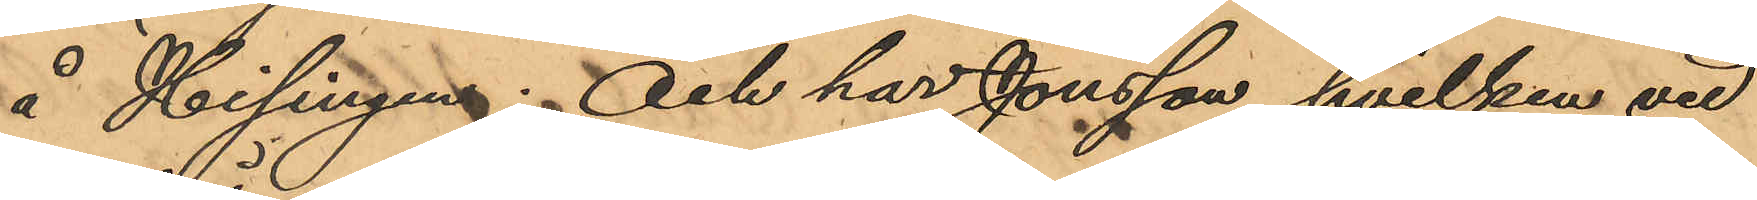å Hisingen; Och har Jonsson, hvilken vid
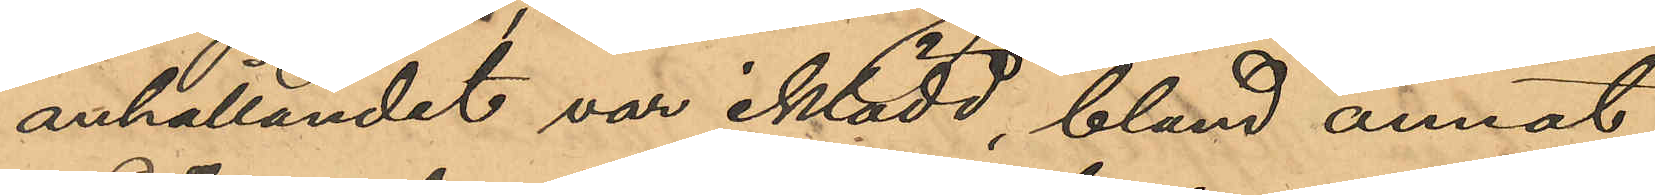anhållandet var iklädd, bland annat,
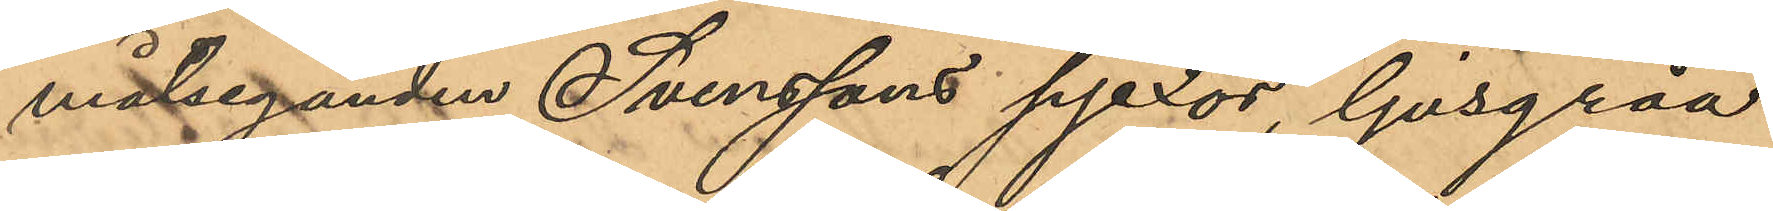målseganden Svenssons pjexor, ljusgråa
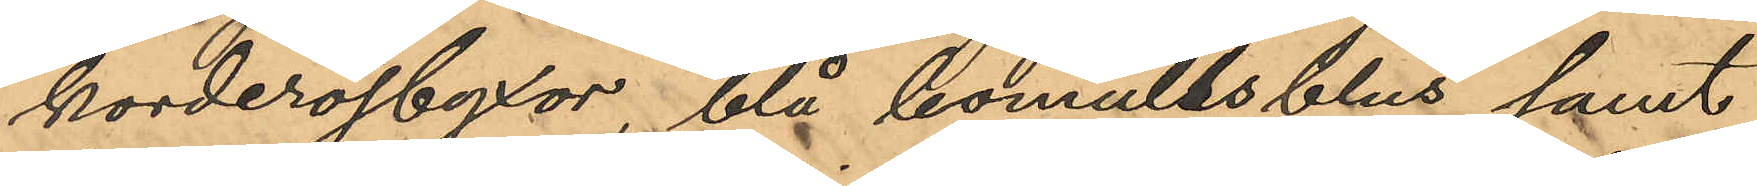korderojbyxor, blå bomullsblus samt
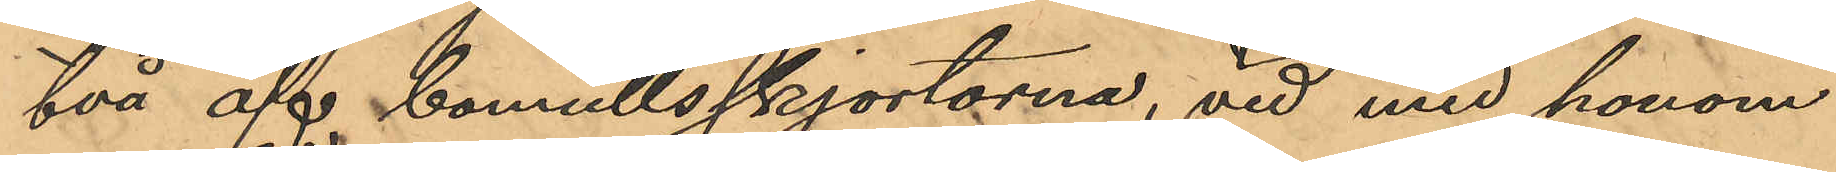två af bomullsskjortorna, vid med honom
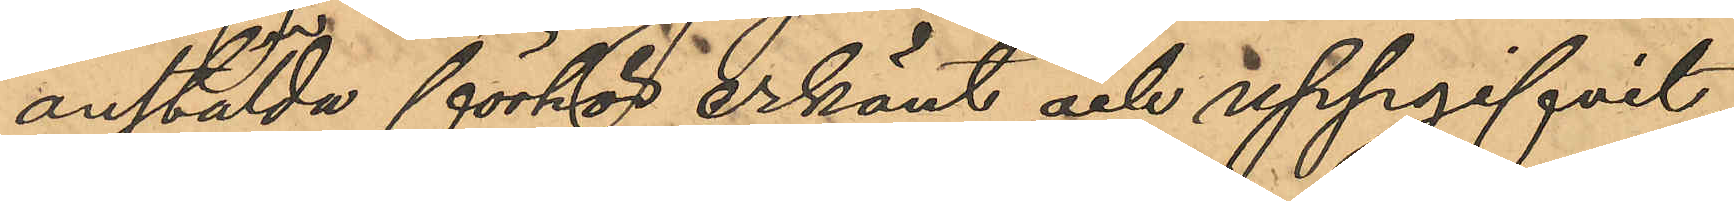anstälda förhör erkänt och uppgifvit,
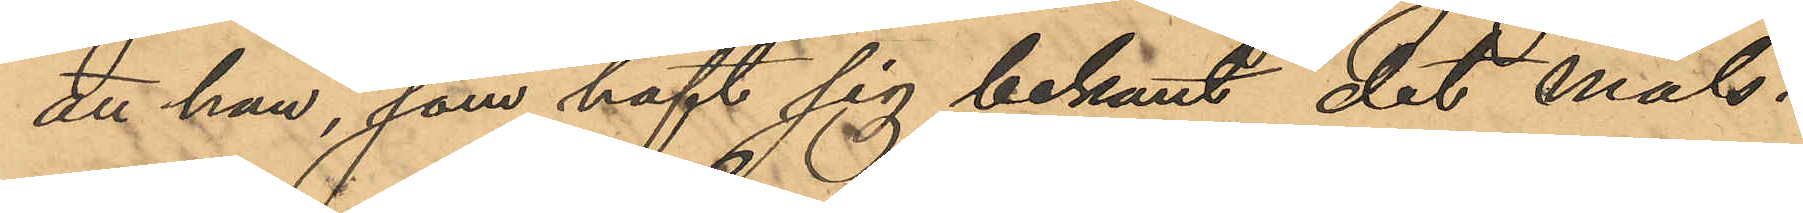att han, som haft sig bekant det måls¬
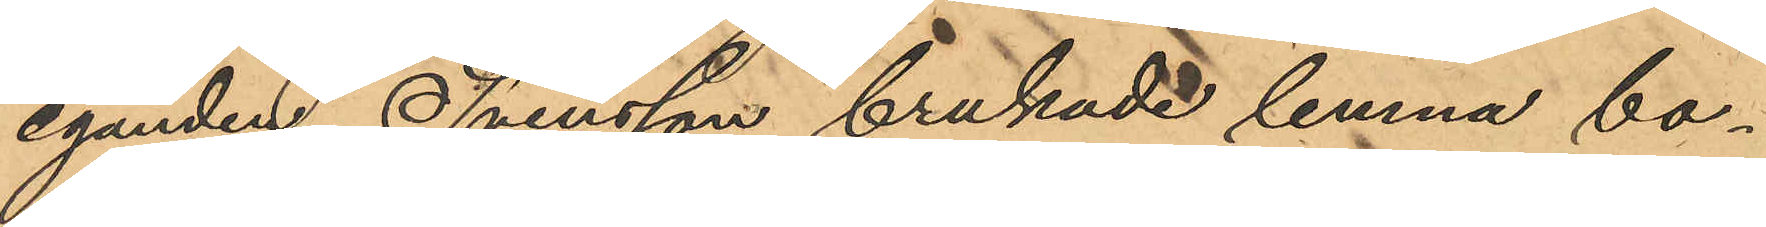eganden Svensson brukade lemna bo¬
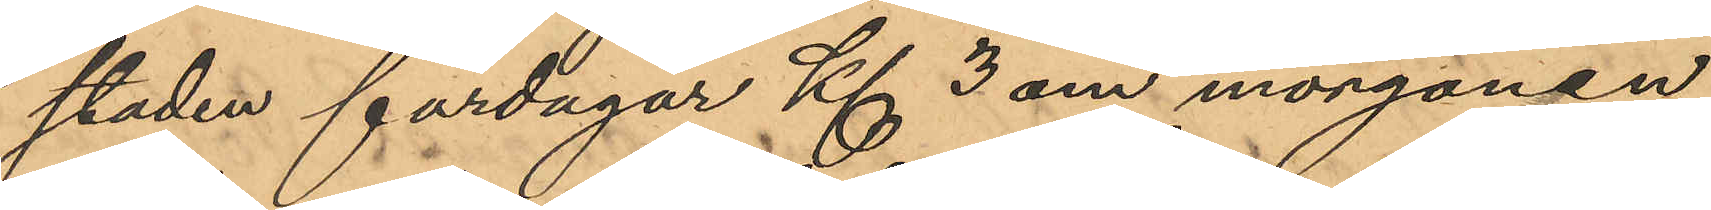staden fardagar Kl 3 om morgonen,
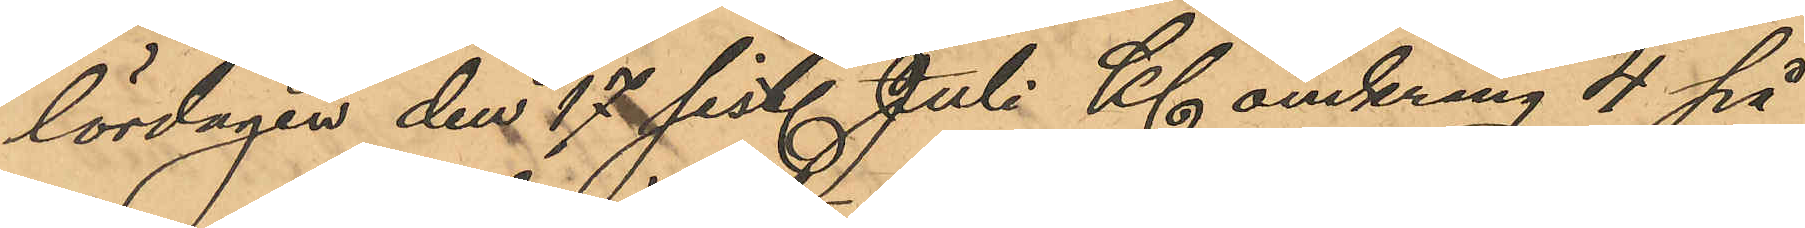lördagen den 17 sist. Juli Kl omkring 4 på
